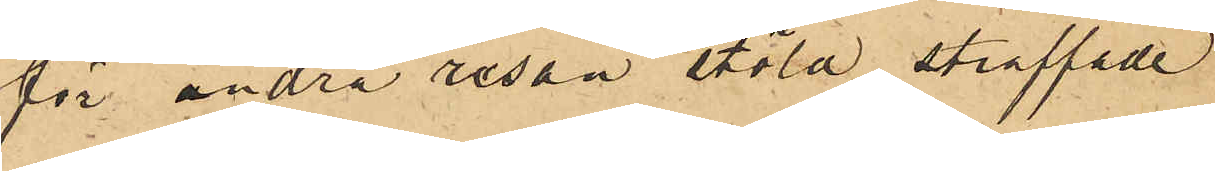för andra resan stöld straffade
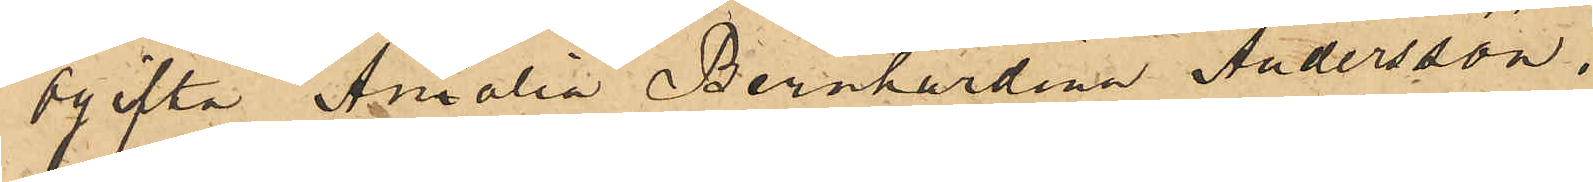ogifta Amalia Bernhardina Andersson.
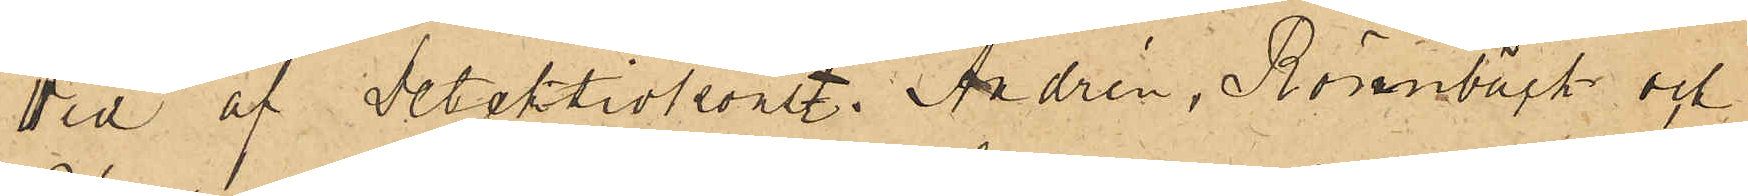Vid af Detektivkonst. Andrén, Rönnbäck och
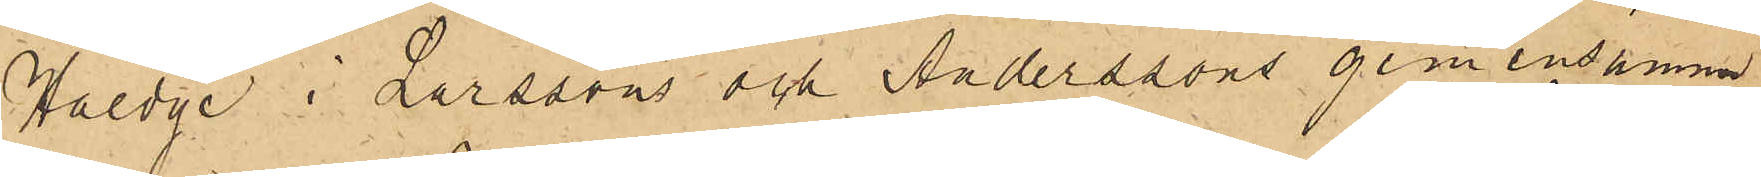Hedge i Larssons och Anderssons gemensamma
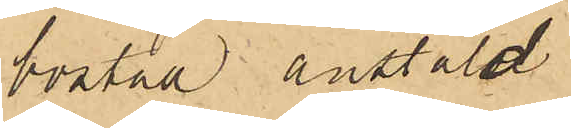bostad anstäld
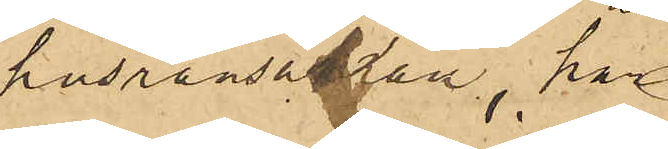husransakan, har
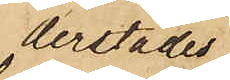derstädes
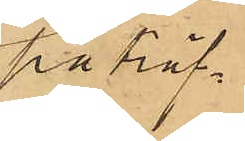påträf¬
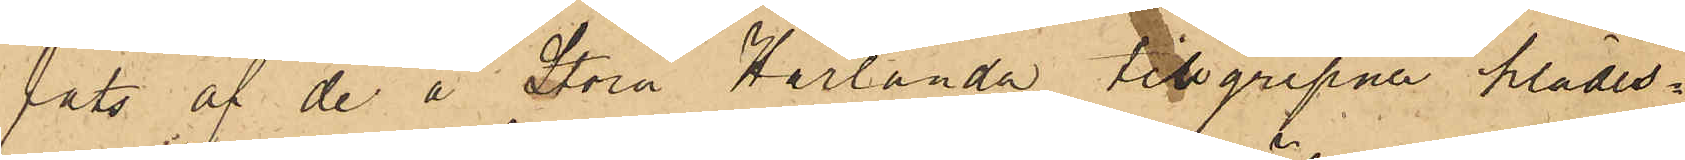fats af de å Stora Härlanda tillgripne klädes¬
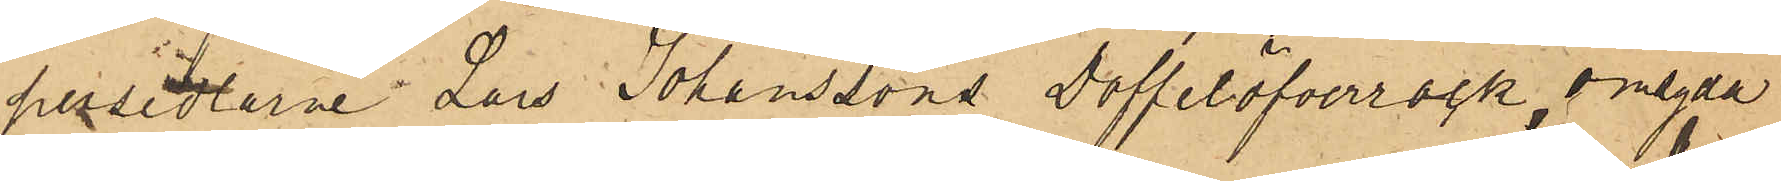persedlarne: Lars Johanssons Doffelöfverrock, omsydd
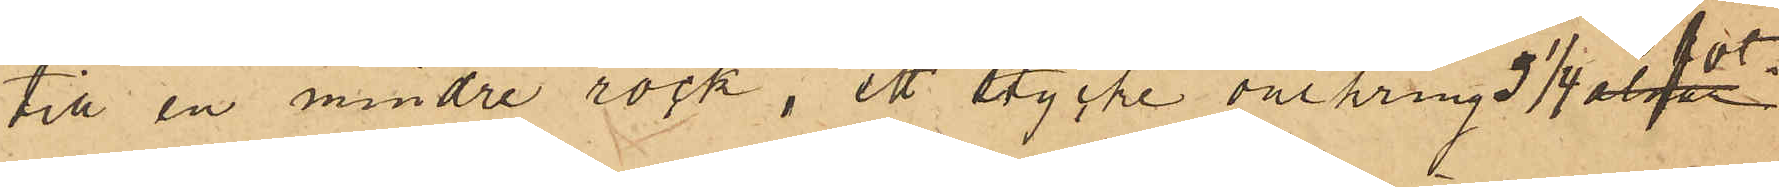till en mindre rock, ett stycke omkring  3 1/4 fot
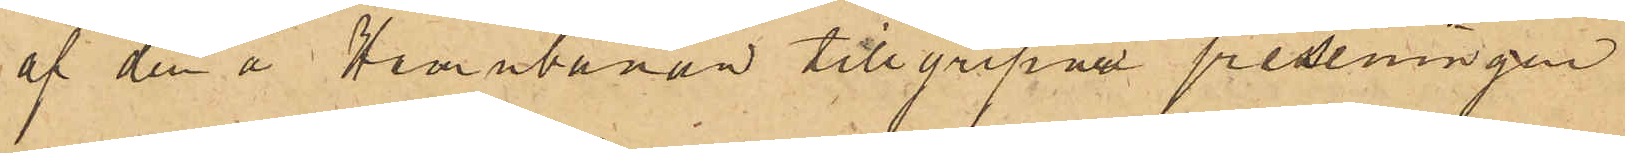af den å Hamnbanan tillgripne presenningen
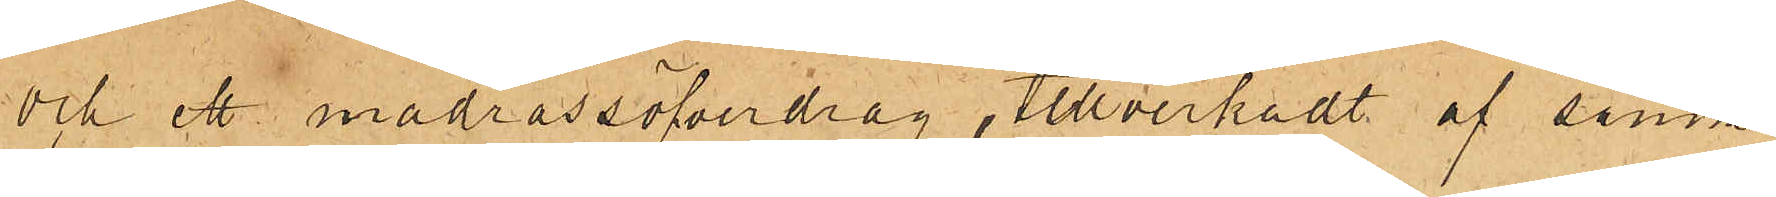och ett madrassöfverdrag, tillverkadt af samma
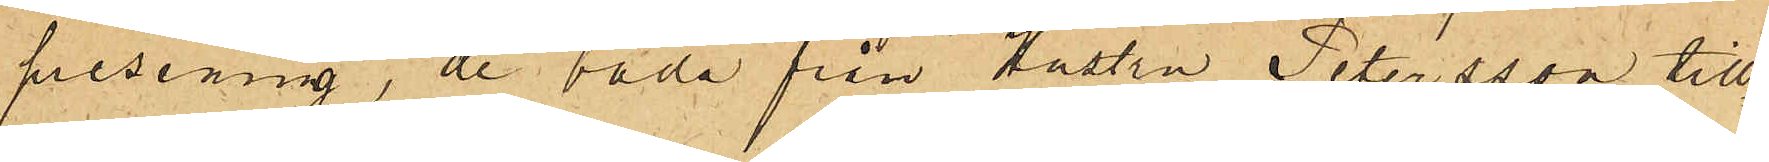presenning, de båda från Hustru Petersson till¬
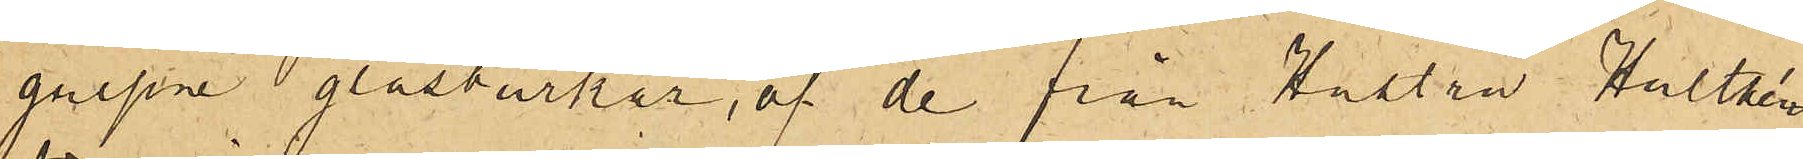gripne glasburkar, af de från Hustru Hulthén
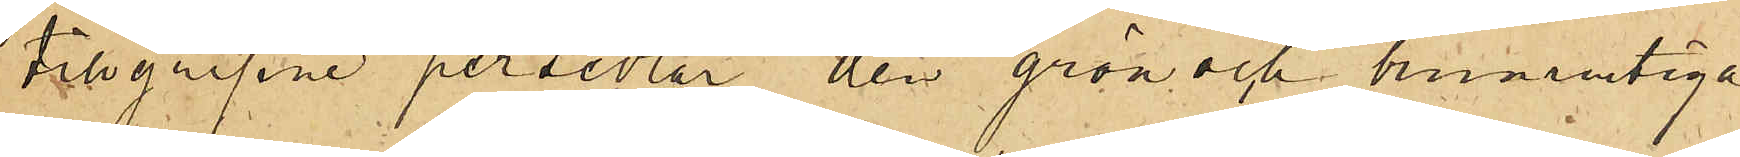tilgripne persedlar den grön och brunrutiga
